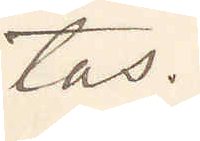tas.
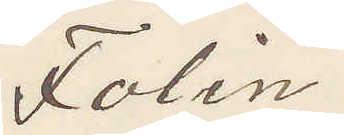Folin
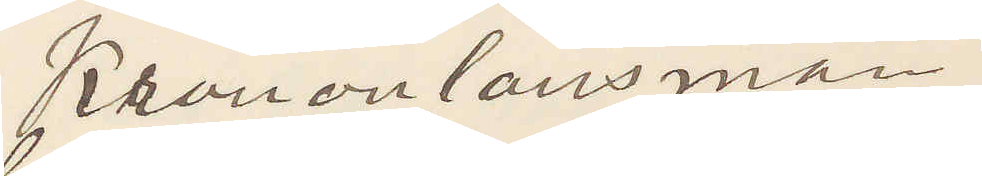Kronolänsman
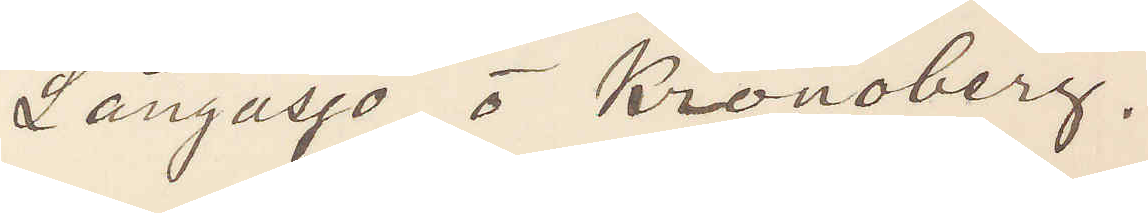Långasjö i Kronoberg,
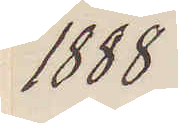1888
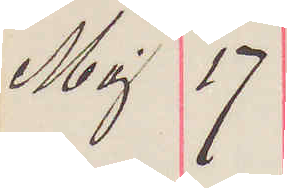Maj 17
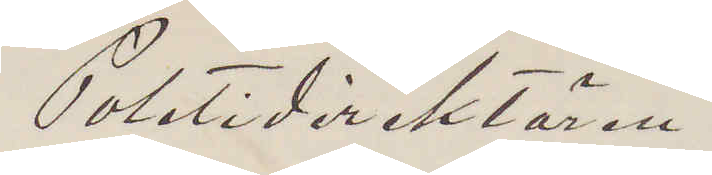Poletidirektören
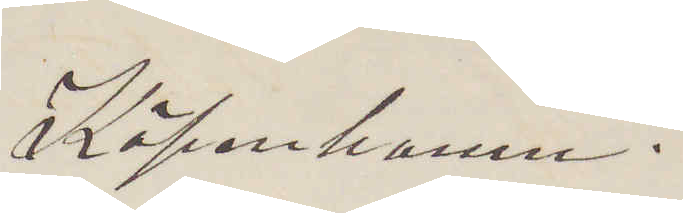Köpenhamn.
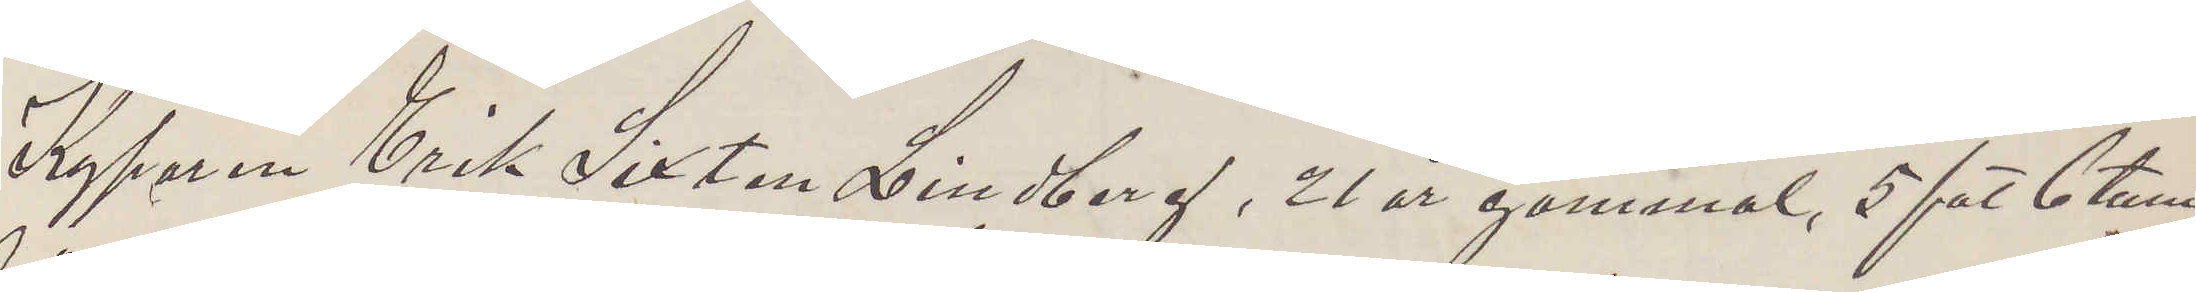Kyparen Erik Sixten Lindberg, 2l år gammal, 5 fot 6 tum
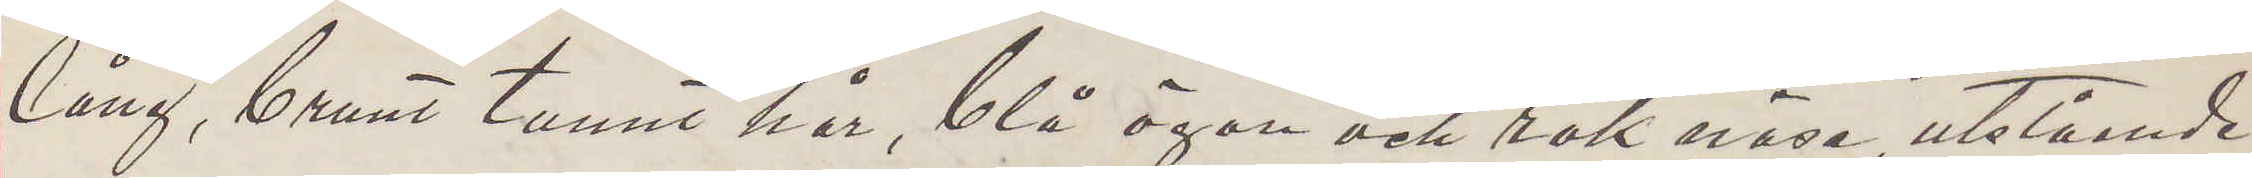lång, brunt tunnt hår, blå ögon och rak näsa, utstående
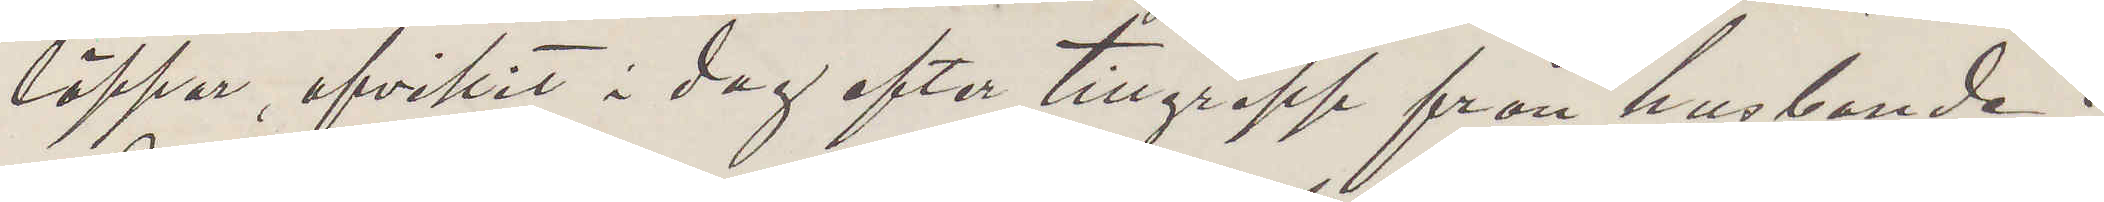läppar, afvikit i dag efter tillgrepp från husbonde
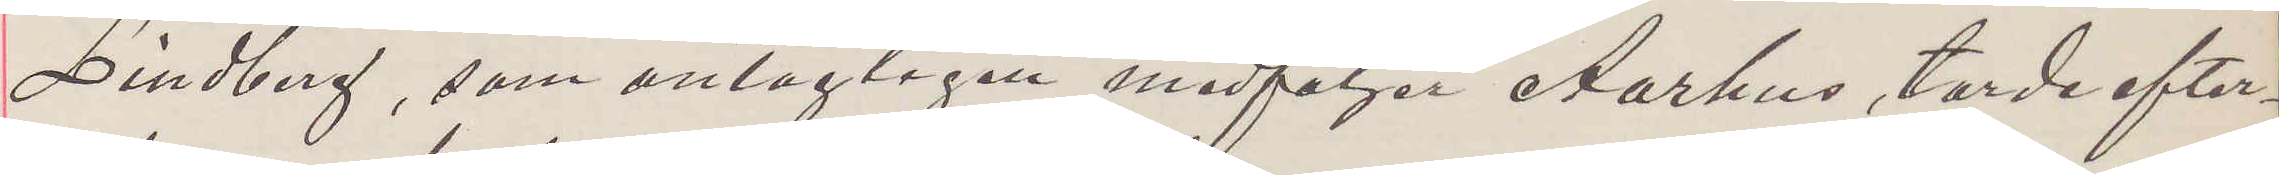Lindberg, som antagligen medföljr Aarhus, torde efter¬
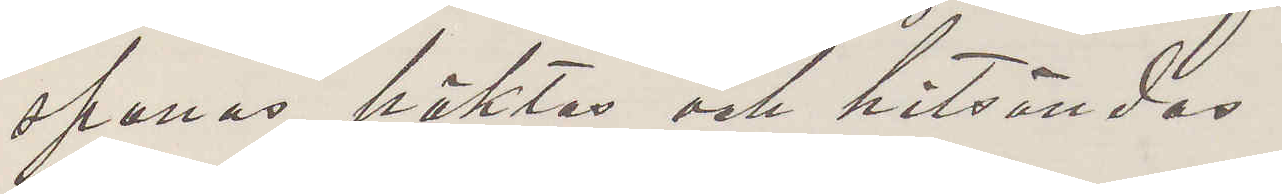spanas häktas och hitsändas.
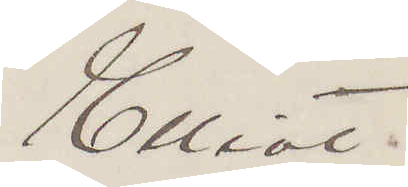Elliot.
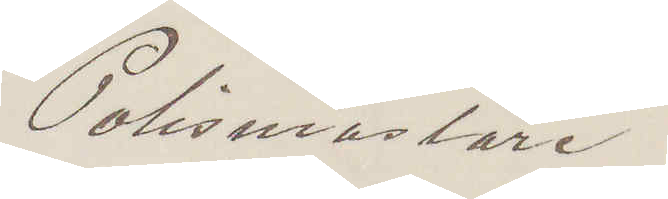Polismästare.
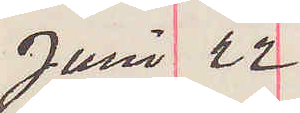Juni 22
